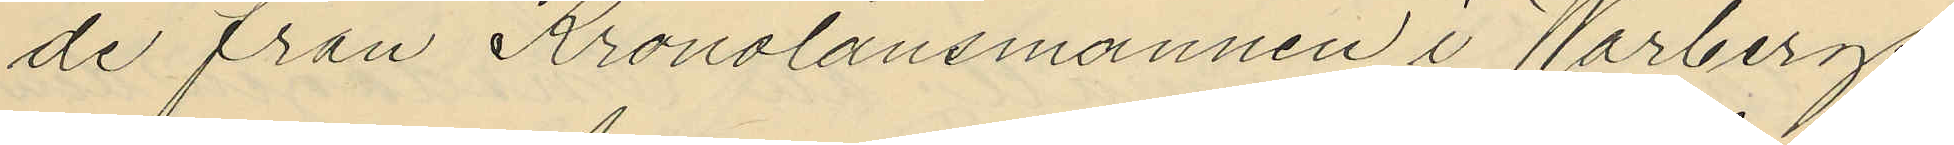de från Kronolänsmannen i Warbergs
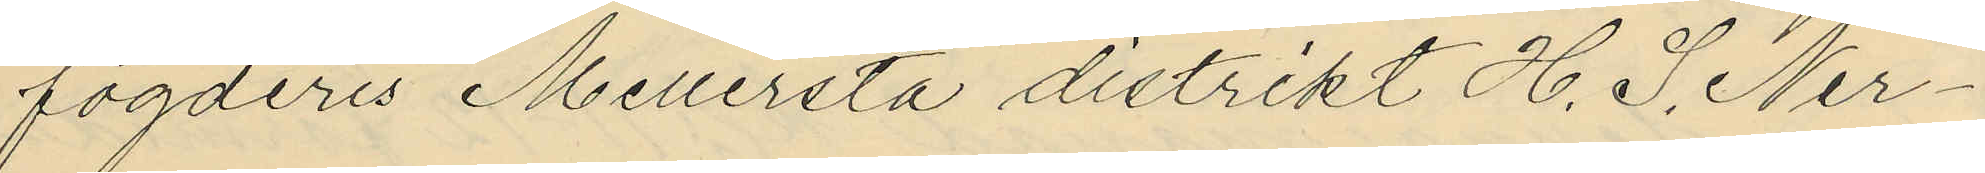fögderis Mellersta distrikt H. S. Ner¬
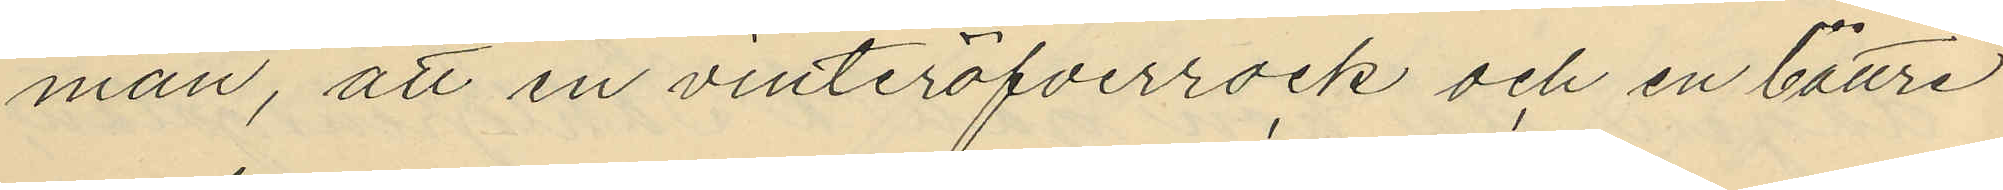man, att en vinteröfverrock och en bättre
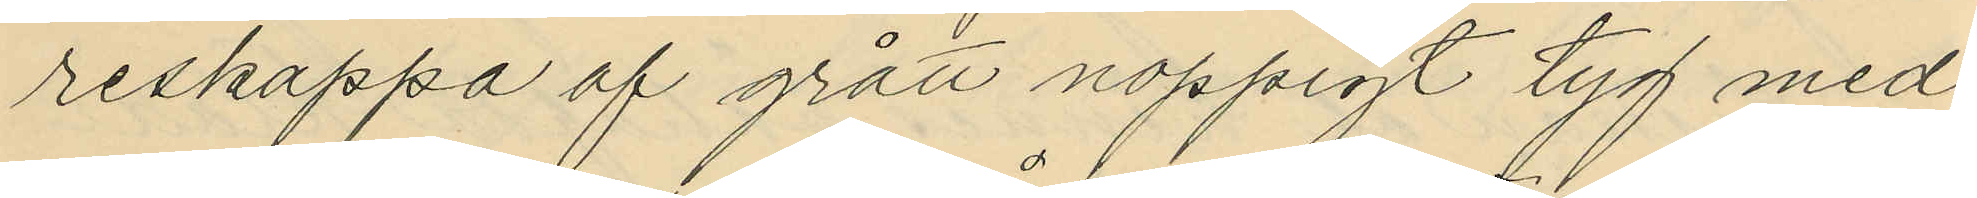reskappa af grått noppigt tyg med
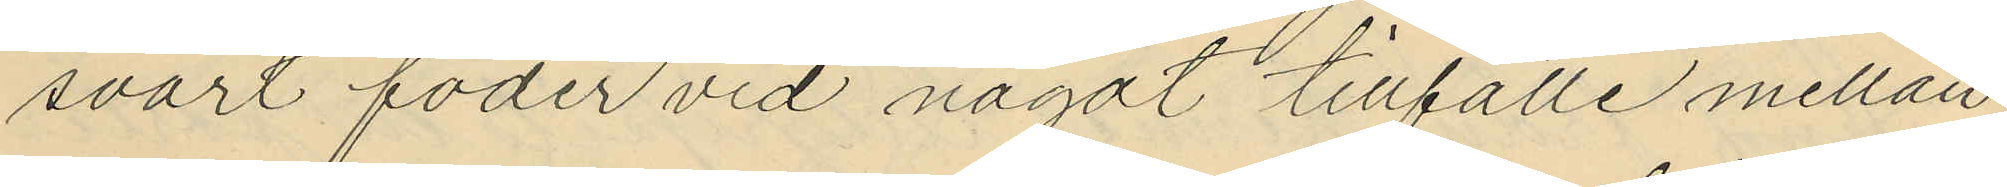svart foder vid något tillfälle mellan
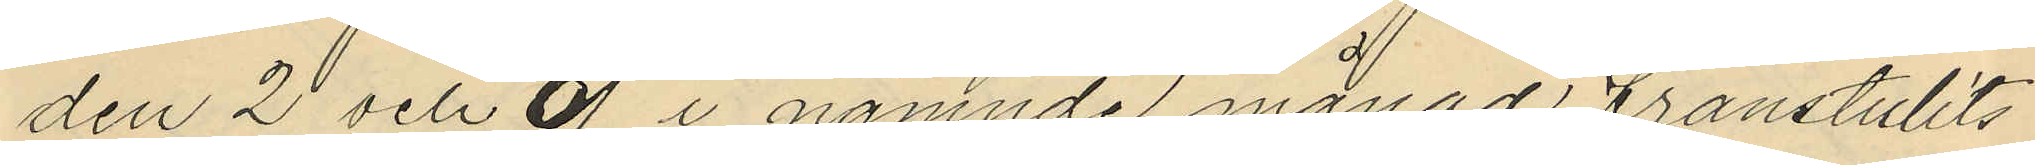den 2 och 9 i nämnde månad frånstulits
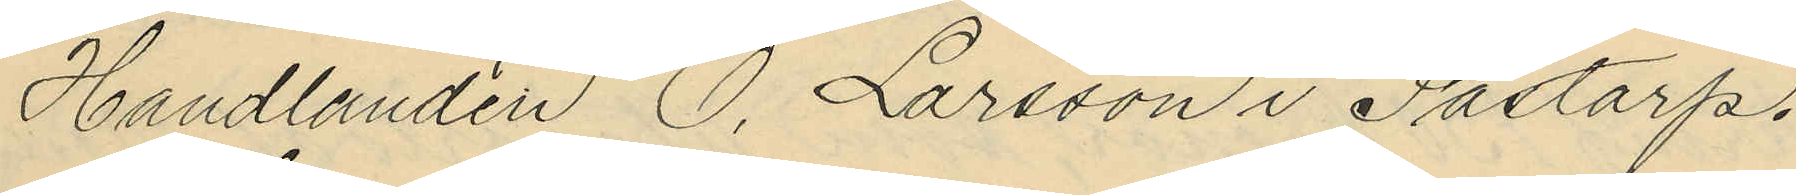Handlanden O. Larsson i Fastorp.
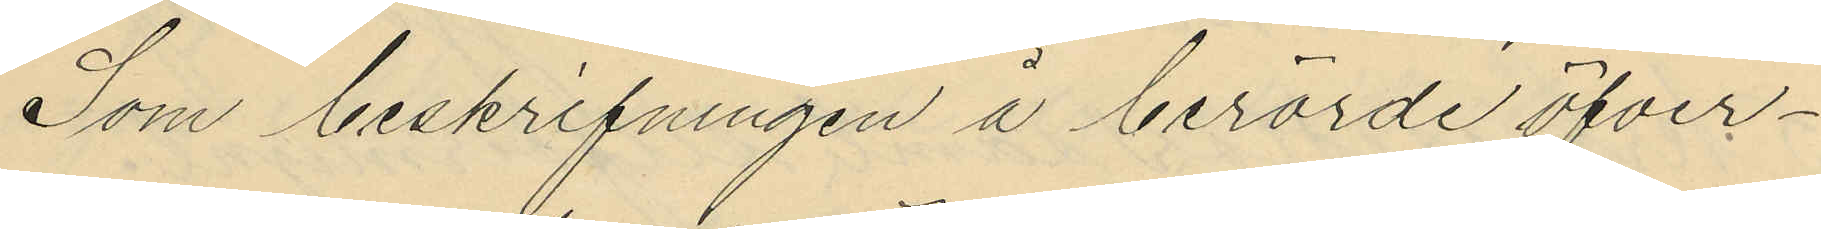Som beskrifningen å berörde öfver¬
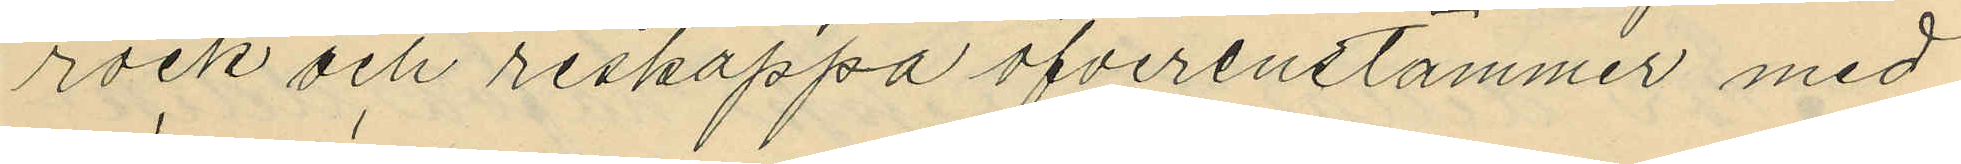rock och reskappa öfverenstämmer med
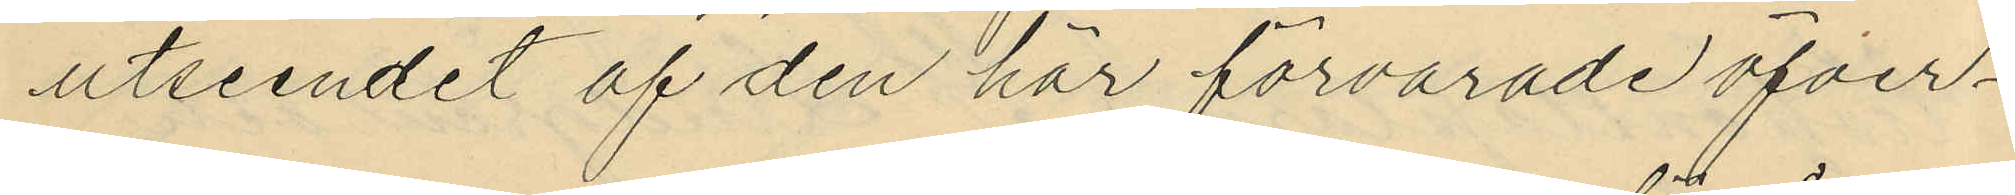utseendet af den här förvarade öfver¬
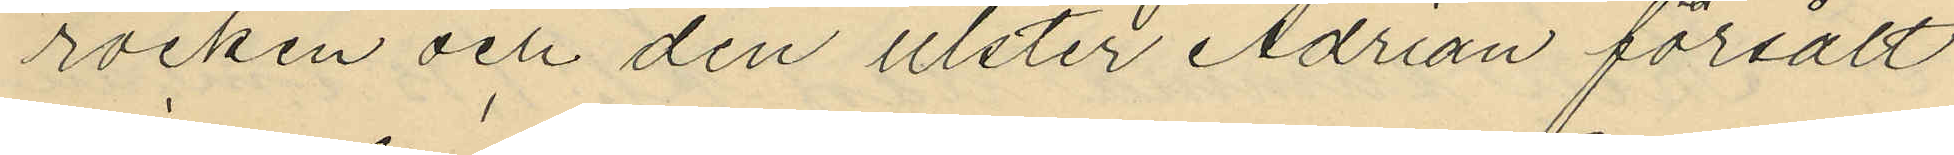rocken och den ulster Adrian försålt
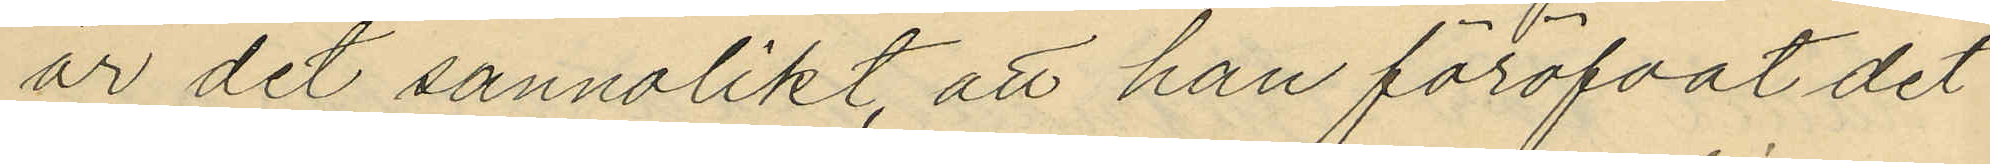är det sannolikt, att han föröfvat det
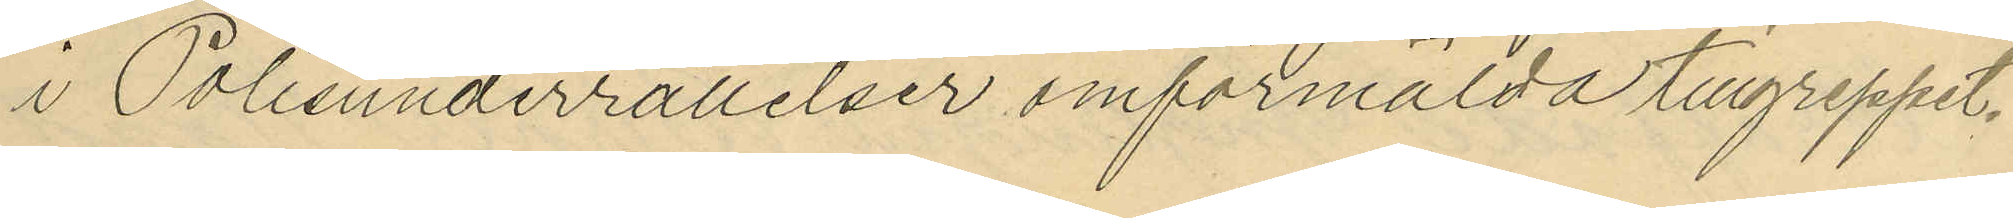i Polisunderrättelser omförmälda tillgreppet.
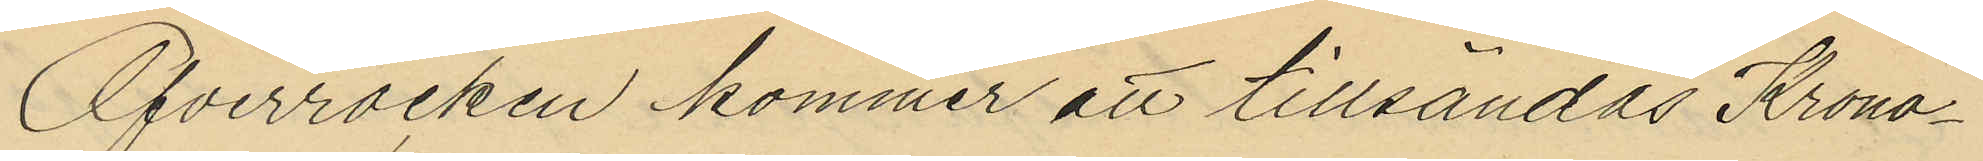Öfverrocken kommer att tillsändas Krono¬
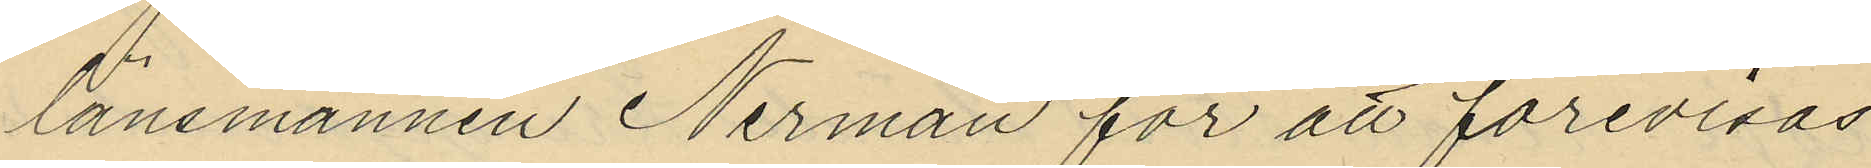länsmannen Nerman för att förevisas
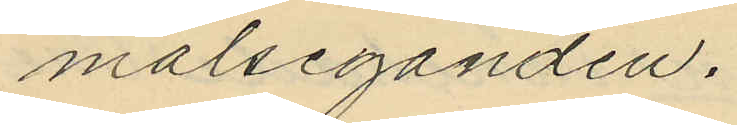målseganden.
